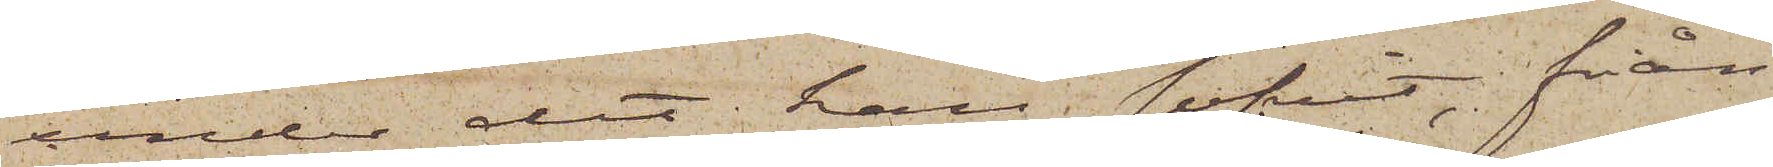under det han sofvit, från
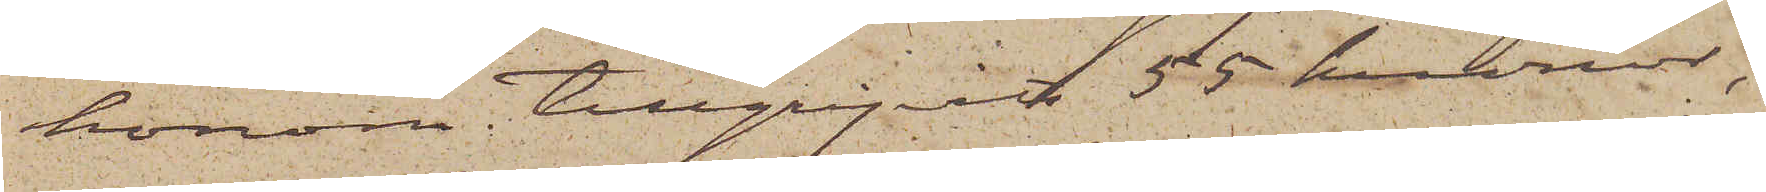honom tillgripits 55 kronor,
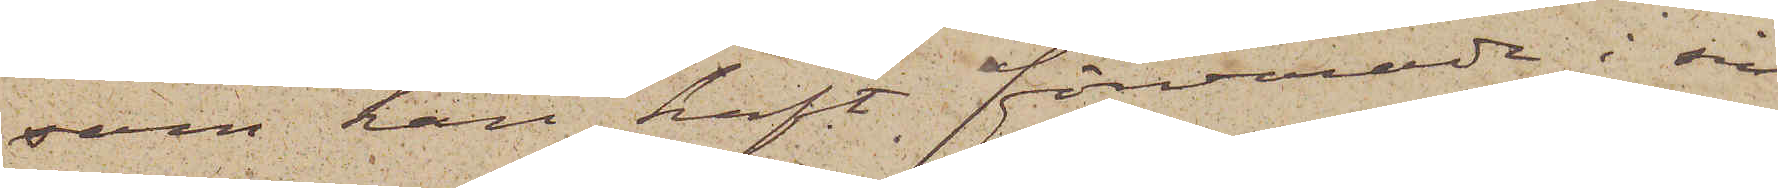som han haft förvarade i sin
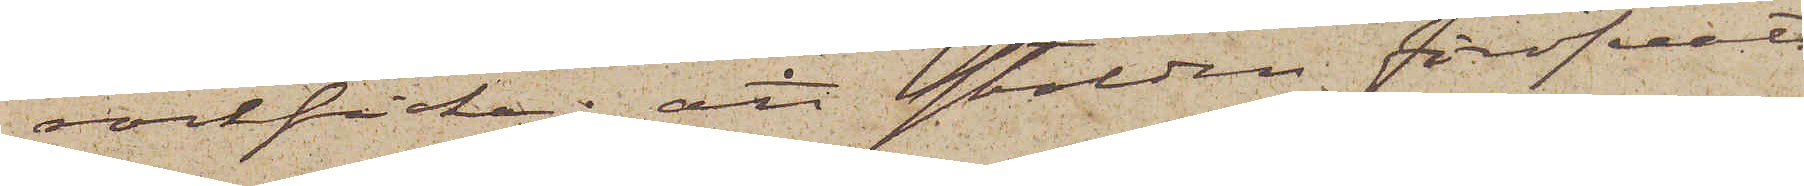rockficka; att stölden föröfvats
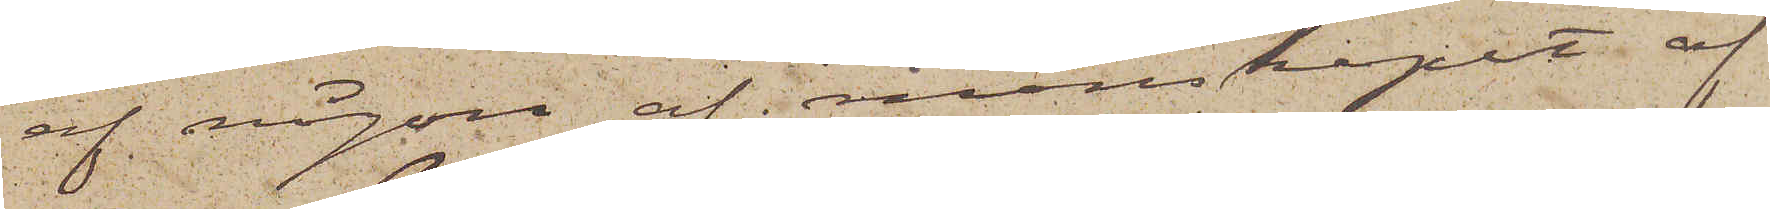af någon af manskapet af
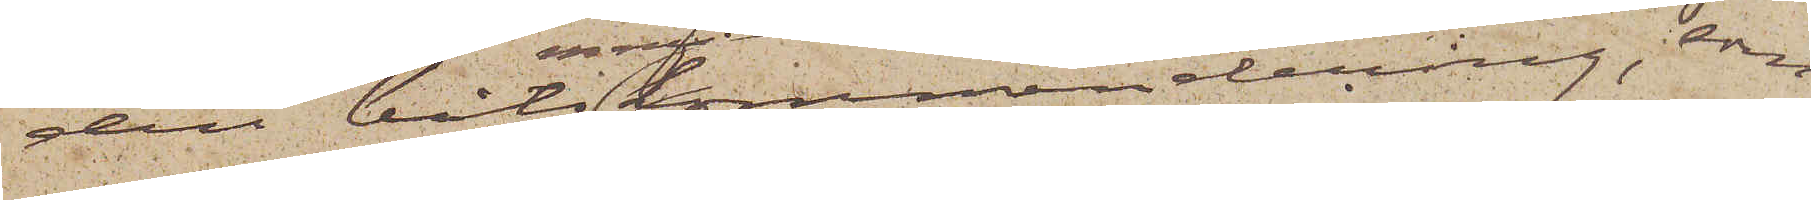den båtmanskommendering, som
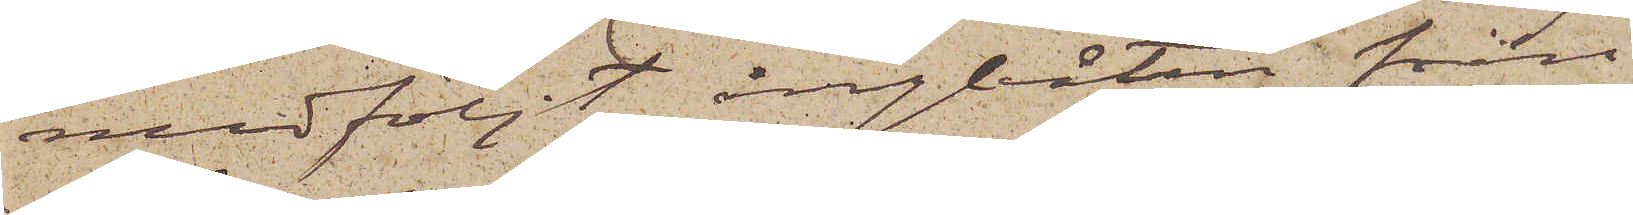medföljt ångbåten från
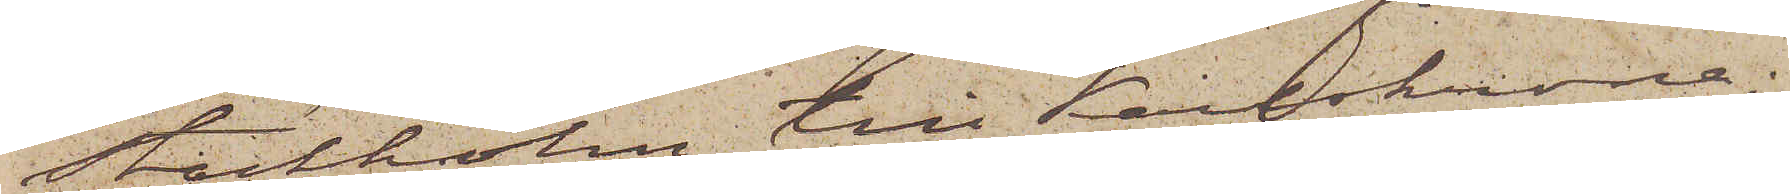Stockholm till Karlskrona;
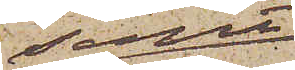samt
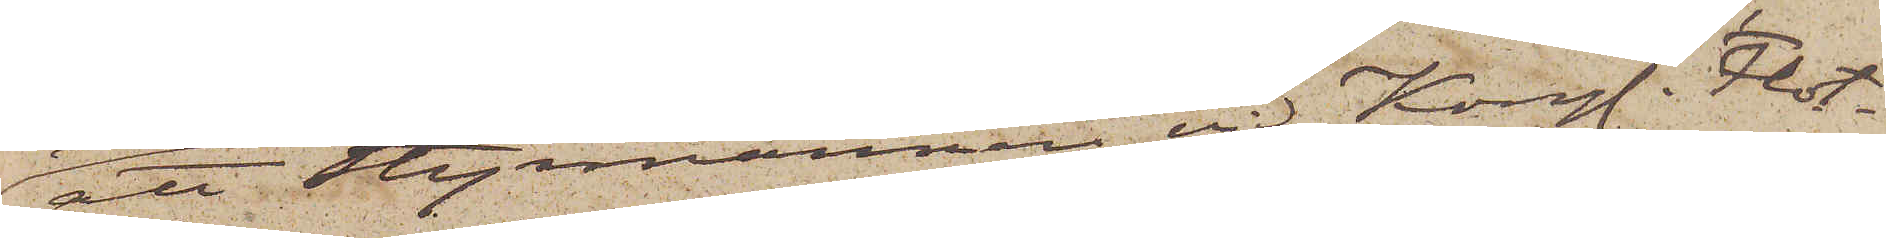att Styrmannen vid Kongl. Flot¬
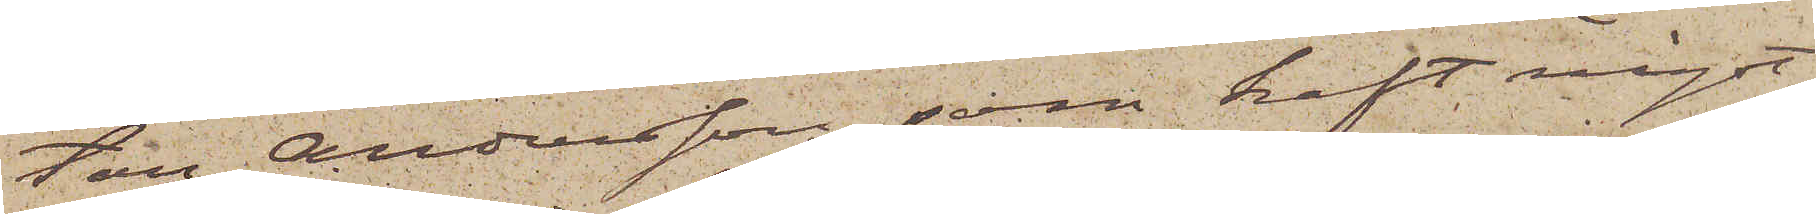tan Andersson, som haft något
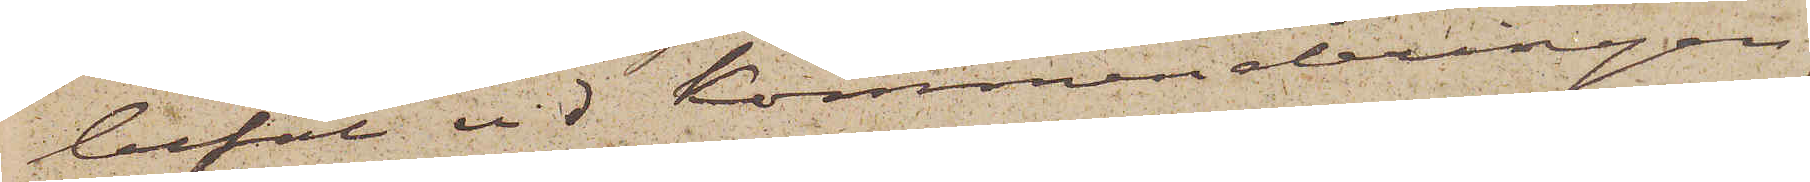befäl vid Kommenderingen,
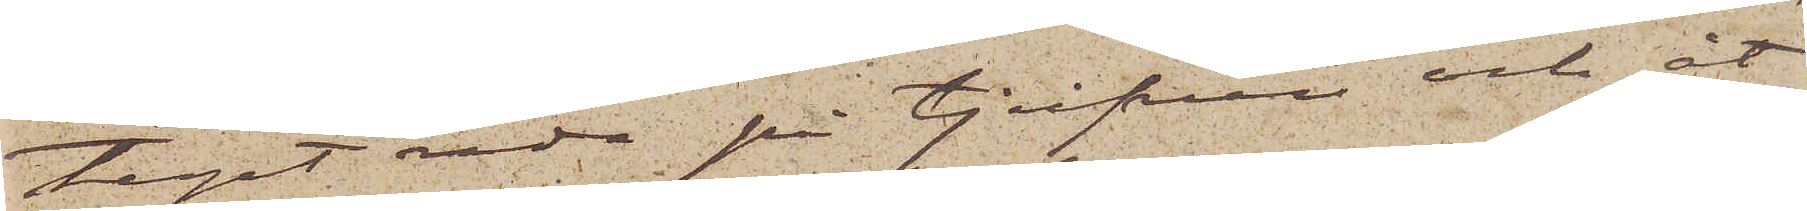tagit reda på tjufven och åt
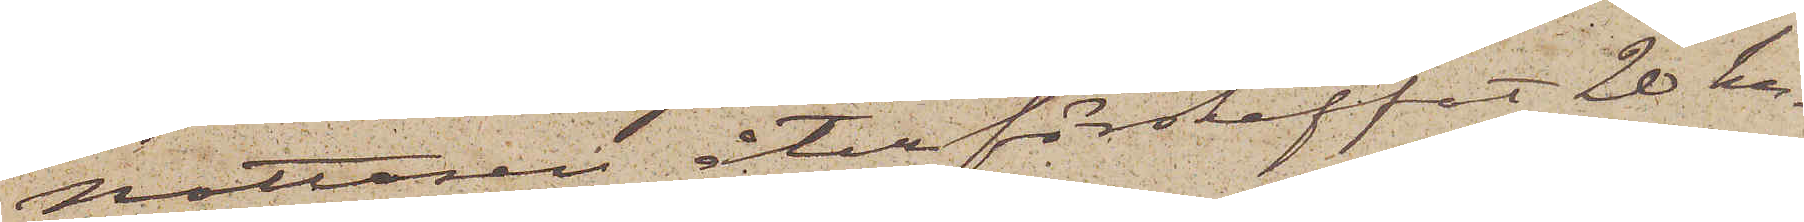Nottosen återförskaffat 20 kr.
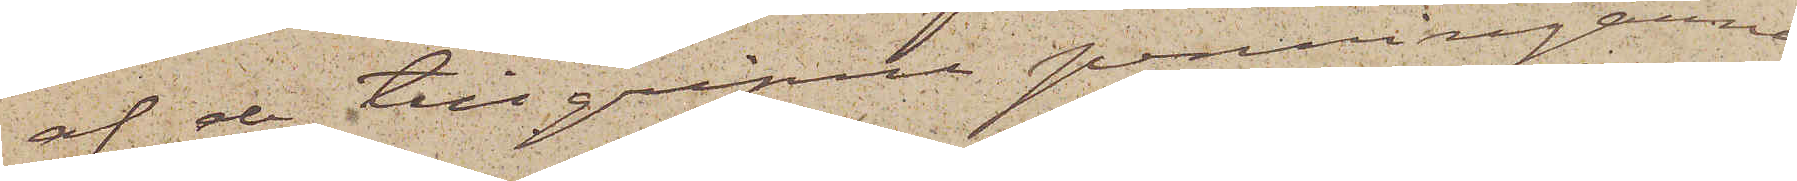af de tillgripne penningarne
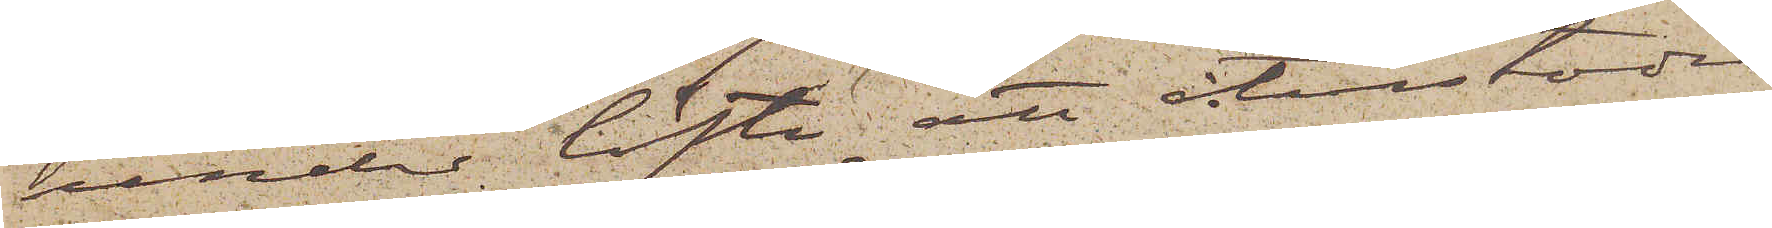under löfte att återstoden
